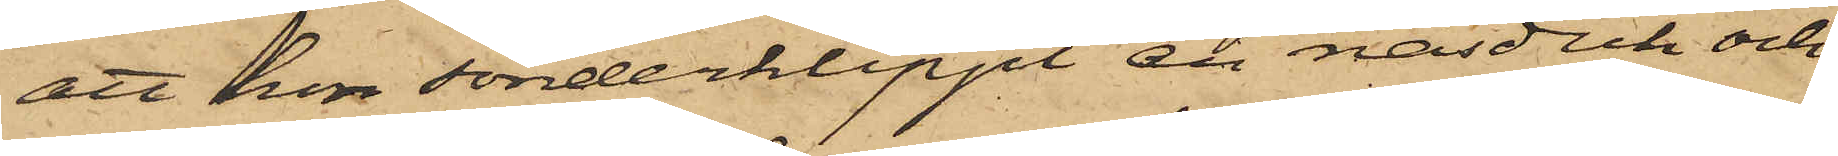att hon sönderklippt en näsduk och
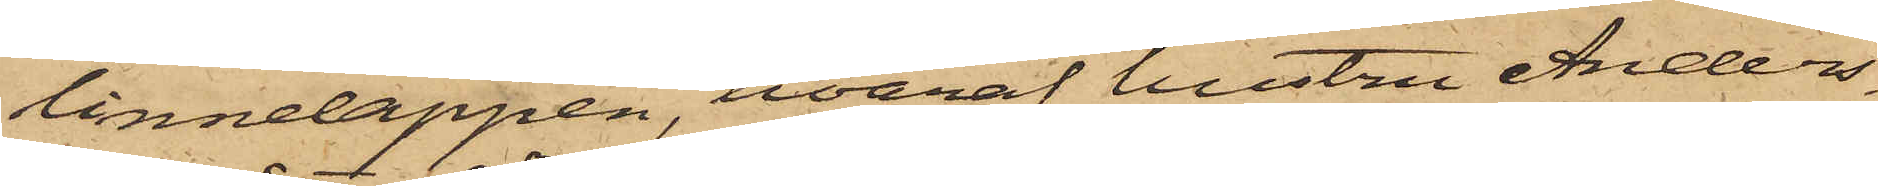linnelappen, hvaraf hustru Anders¬
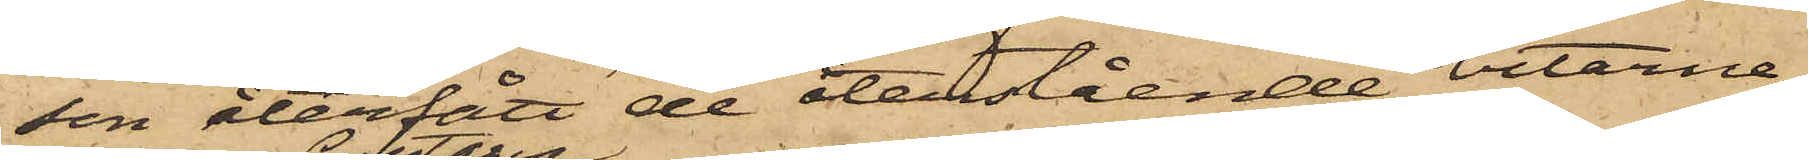son återfått de återstående bitarne.
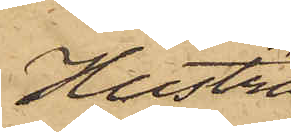Hustru
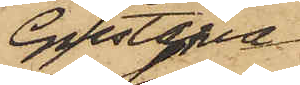Gustafva
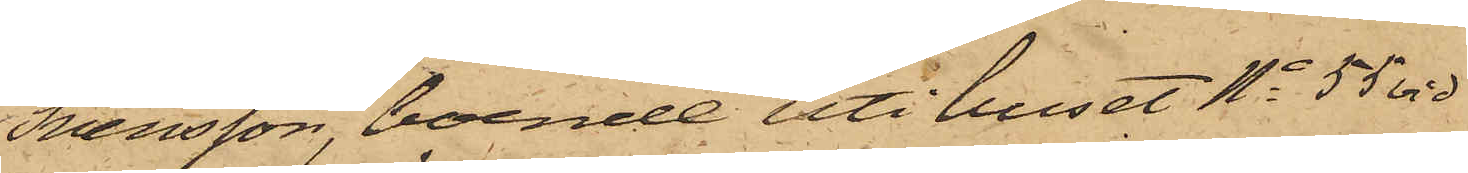Svensson, boende uti huset No 55 vid
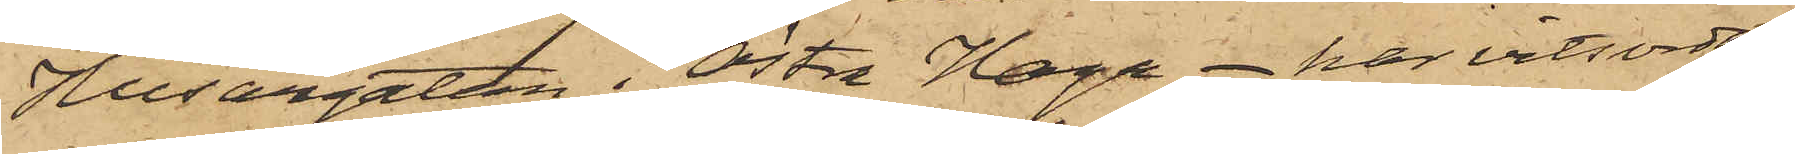Husargatan i Östra Haga har vitsordat
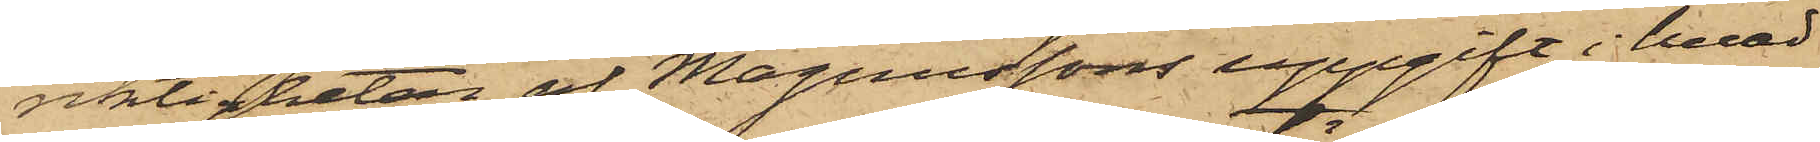riktigheten af Magnussons uppgift i hvad
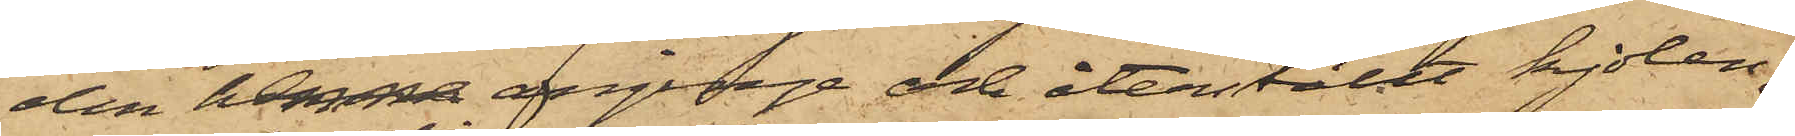den henne anginge och återställt kjolen,
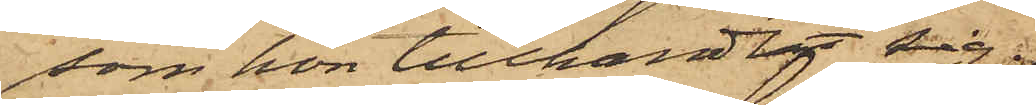som hon tillhandlat sig.
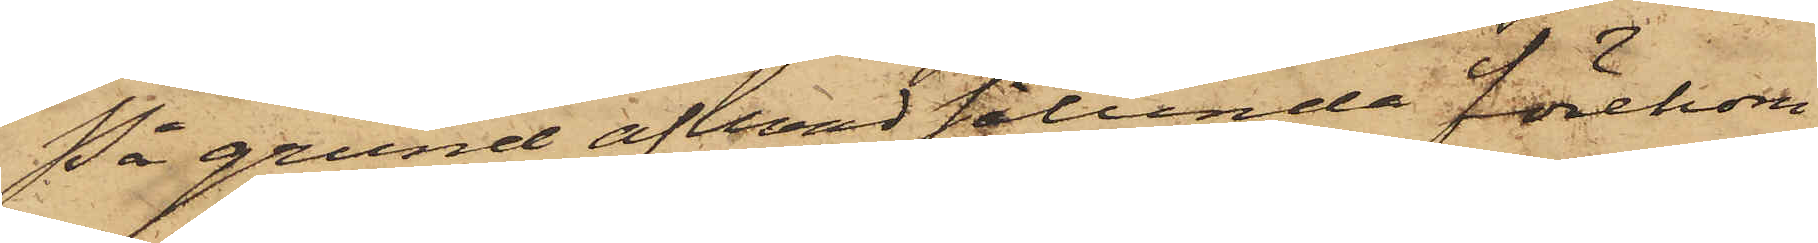På grund af hvad sålunda förekom¬
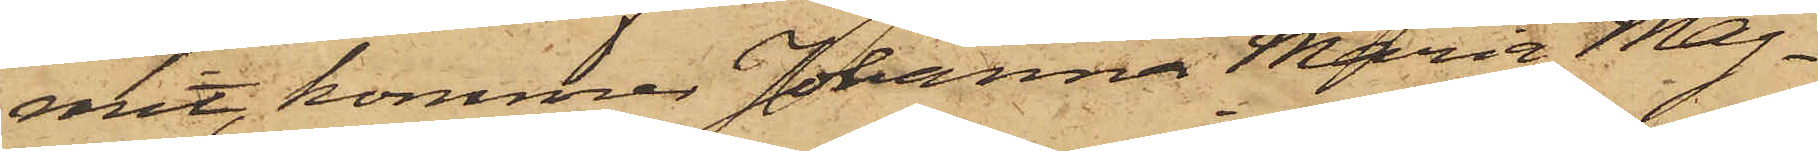mit, kommer Johanna Maria Mag¬
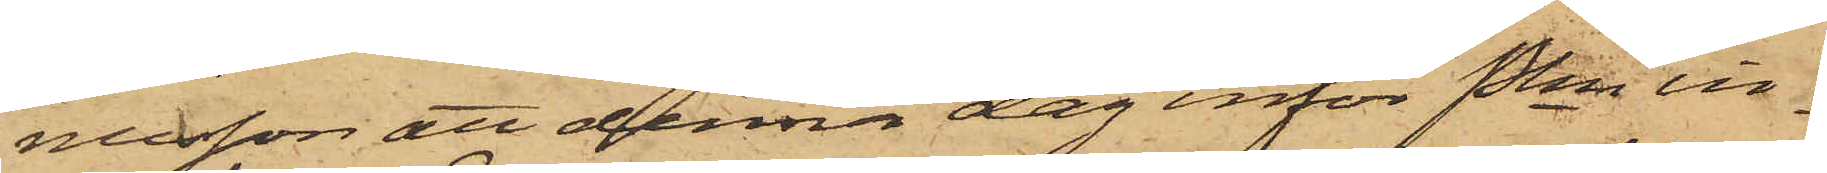nusson att denna dag inför Pkn in¬
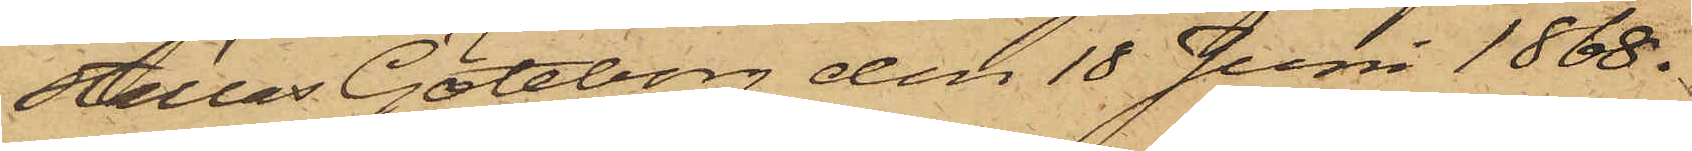ställas. Göteborg den 18 Juni 1868.
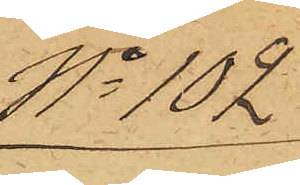No 102
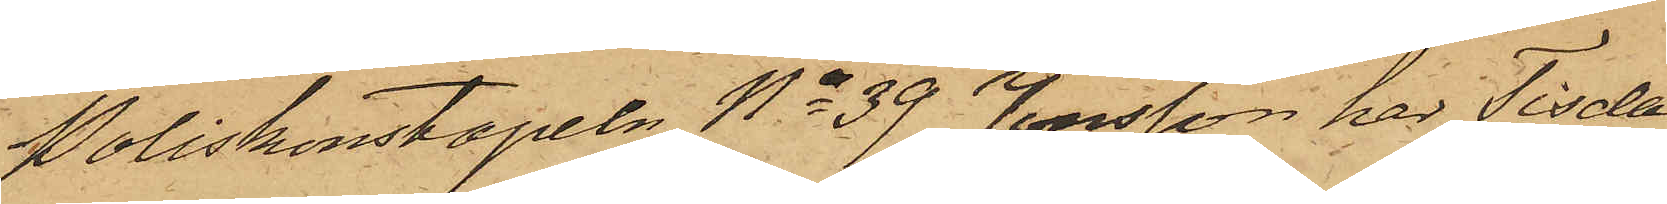Poliskonstapeln No 39 Jonsson har Tisda¬
